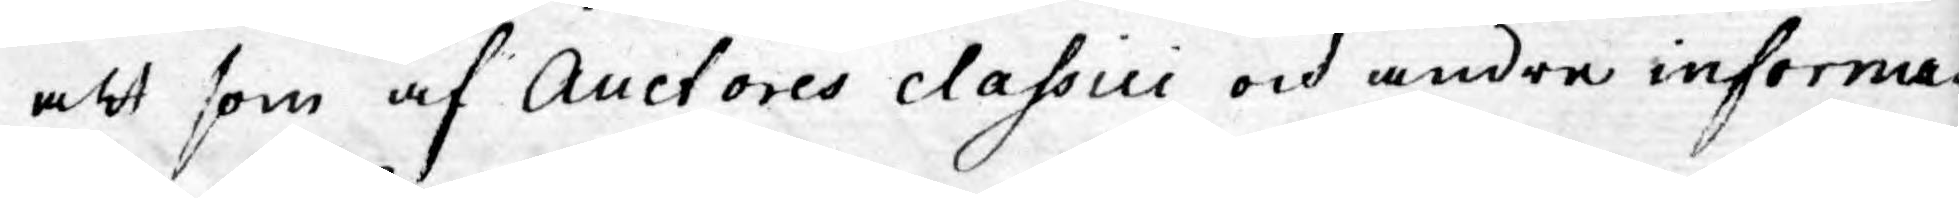att som af Auctores classici och andre informa¬
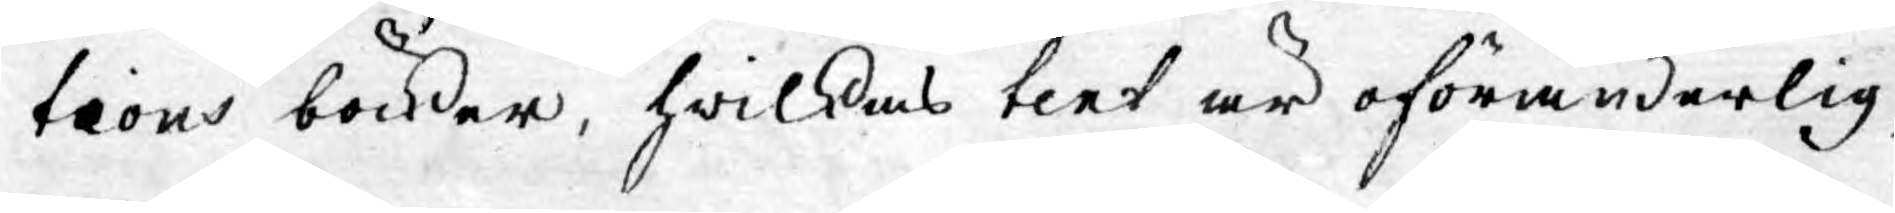tions böcker, hwilkas text är oföränderlig,
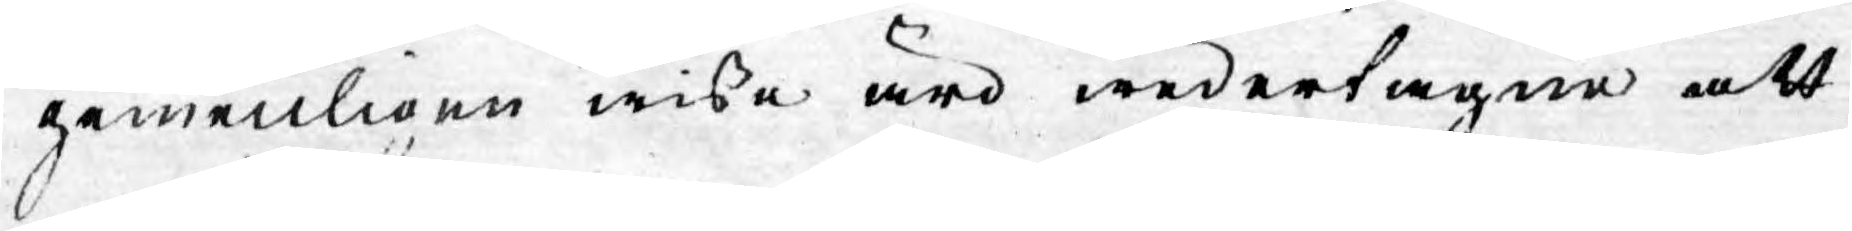gemenligen wisse äro wedertagne att
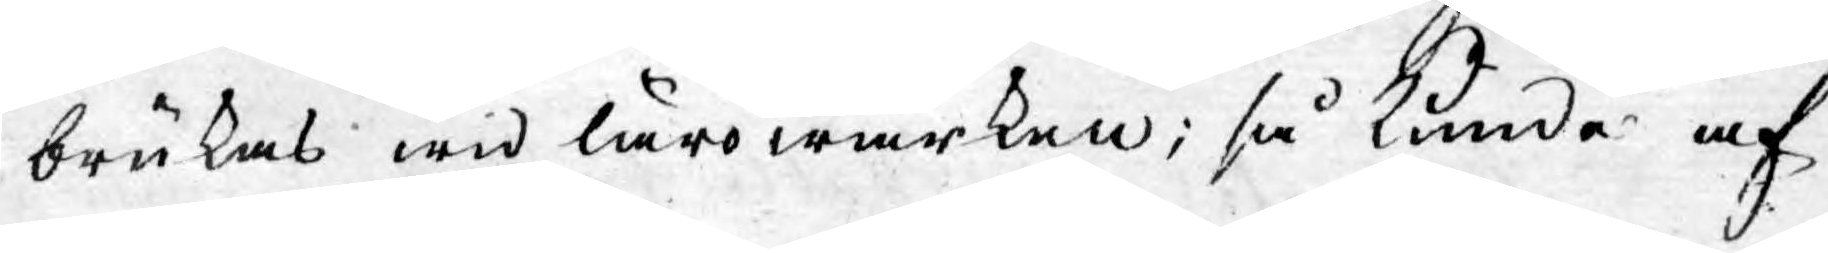brukas wid lärowärken; så kunde af
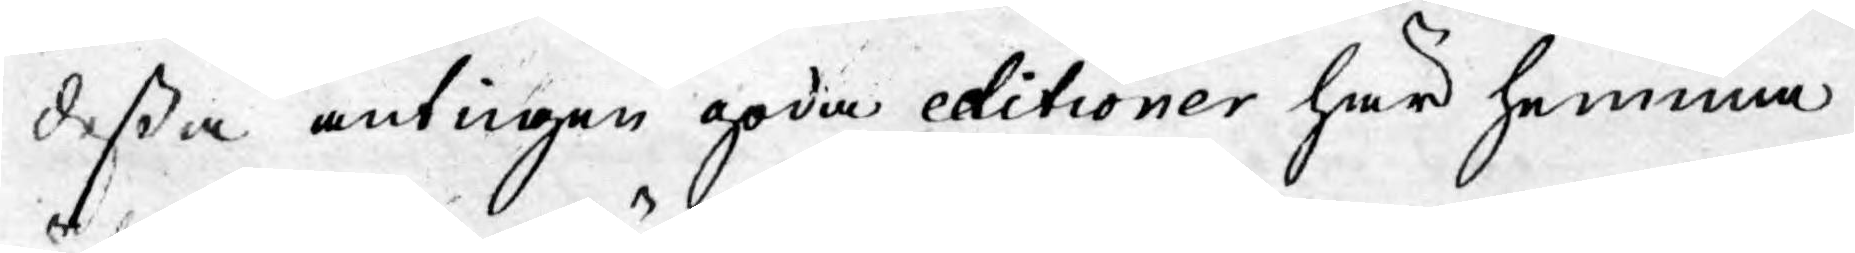deßa antingen goda editioner här hemma
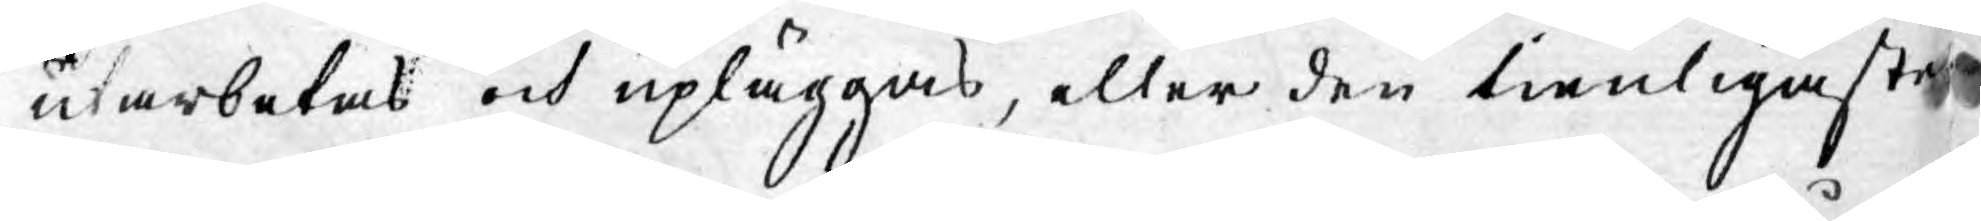utarbetas och upläggas, eller den tienligaste
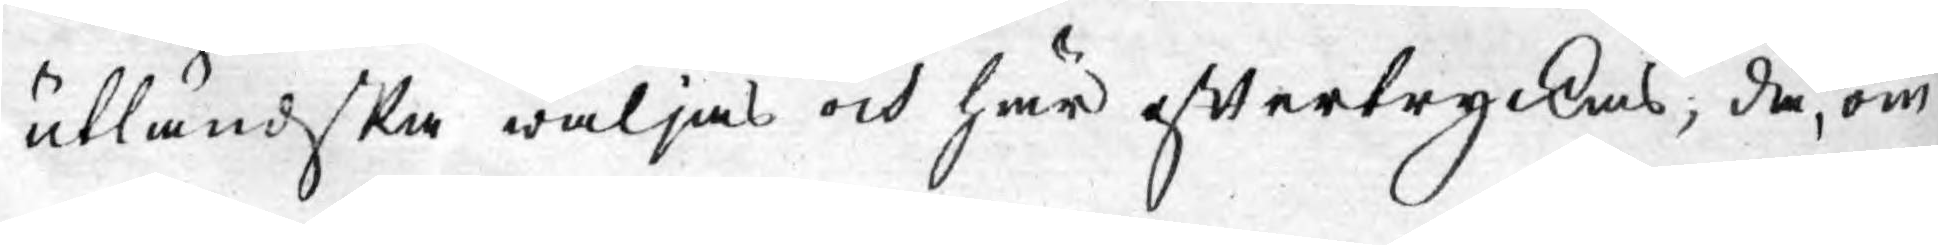utländska wäljas och här eftertryckas; då, om
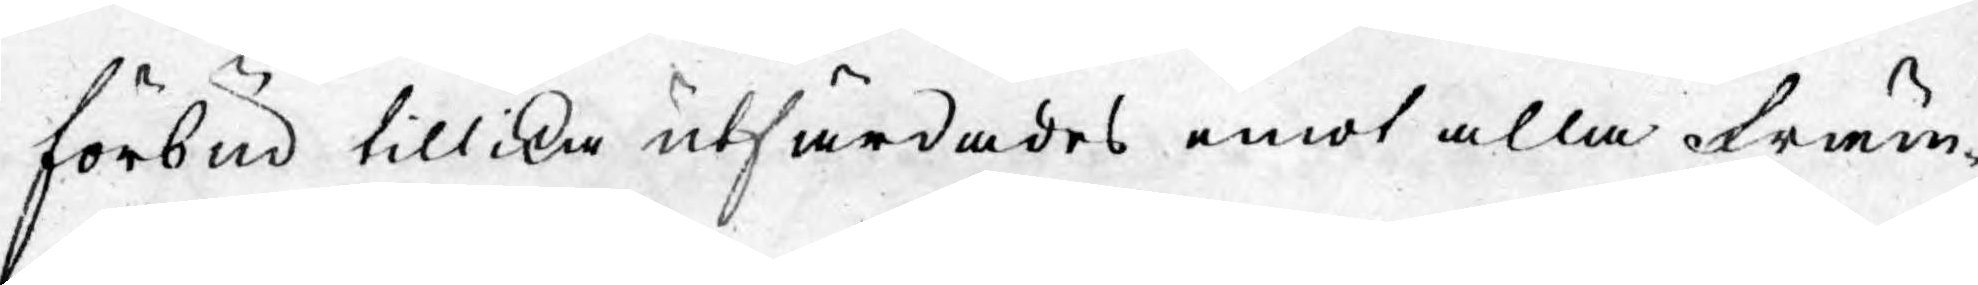förbud tillika utfärdades emot alla främ¬
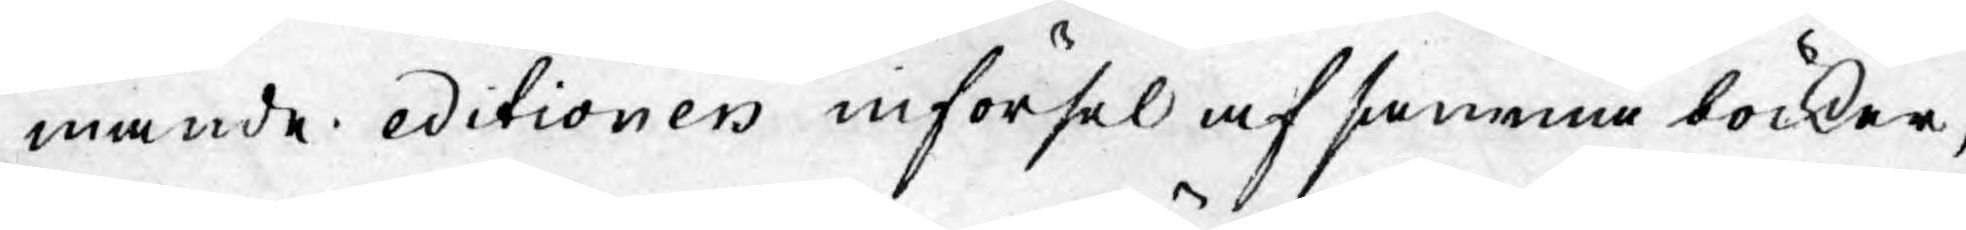mande editioners införsel af samma böcker,
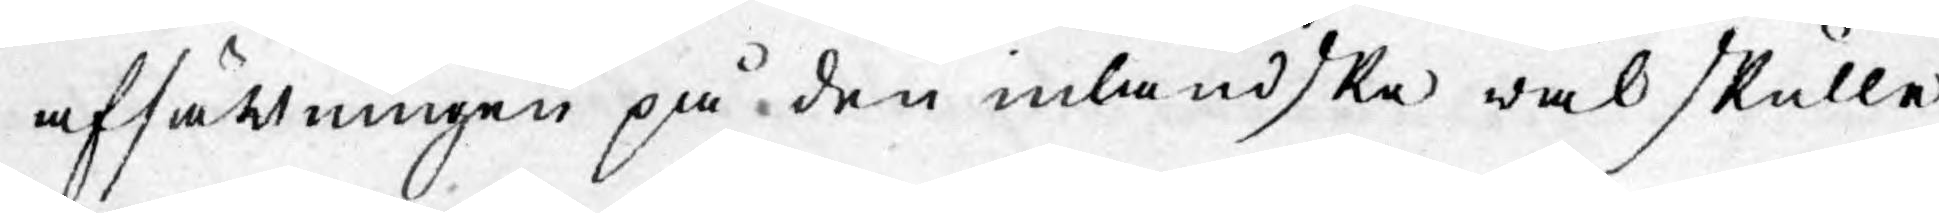afsättningen på den inländske wäl skulle
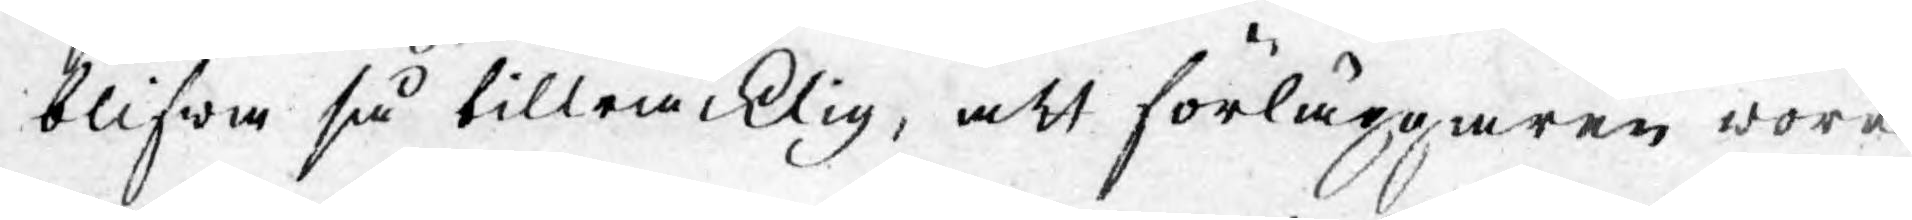blifwa så tillräcklig, att förläggaren wore
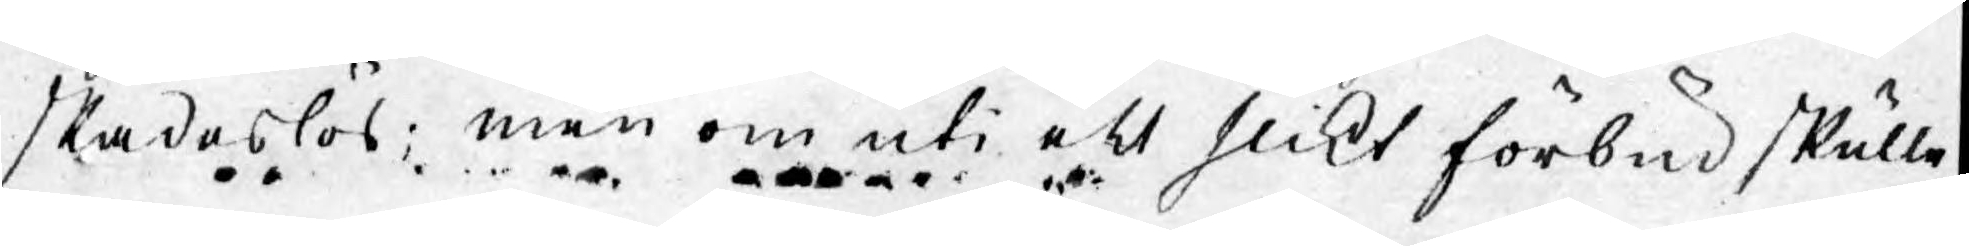skadeslös; men om uti ett slikt förbud skulle
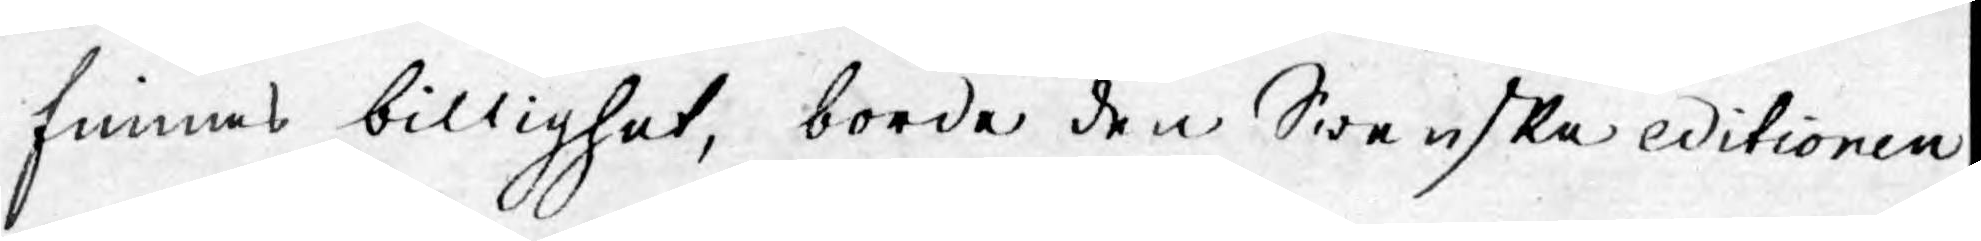finnas billighet, borde den Swenske editionen
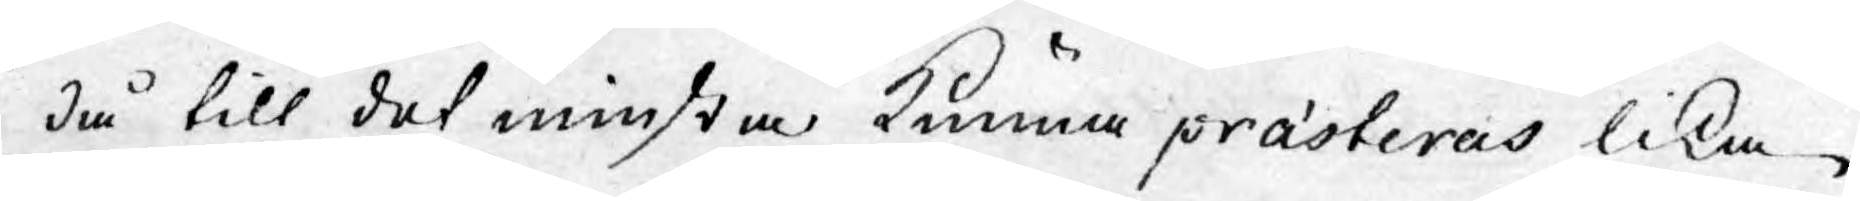då till det minsta kunna prästeras lika
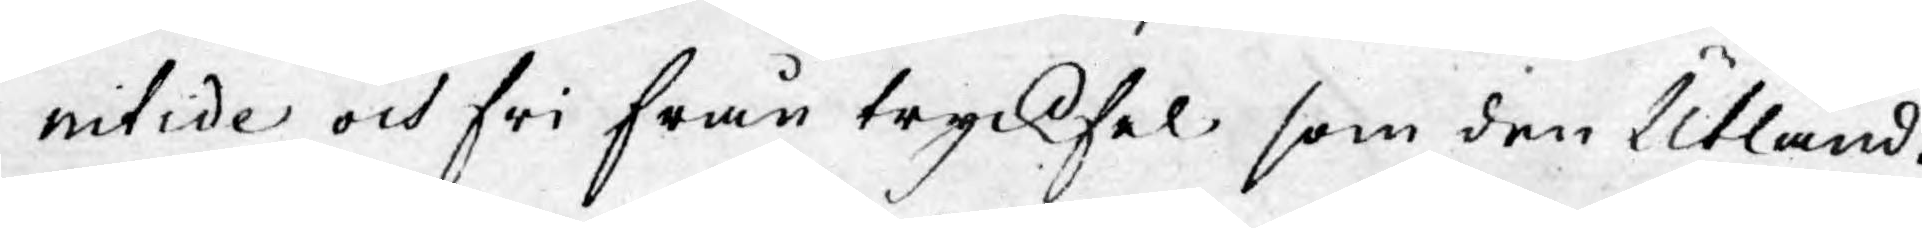nitide och fri från tryckfel som den Utländ¬
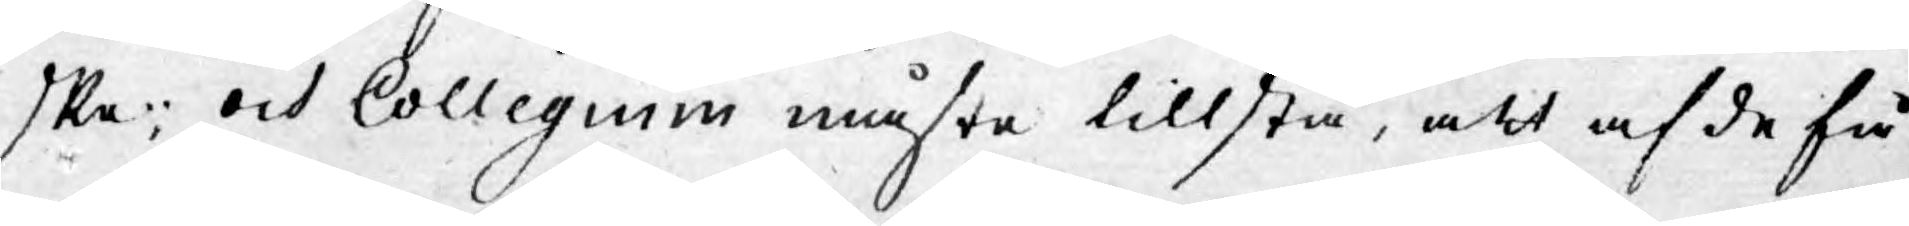ske; och Collegium måste tillstå, att af de få
